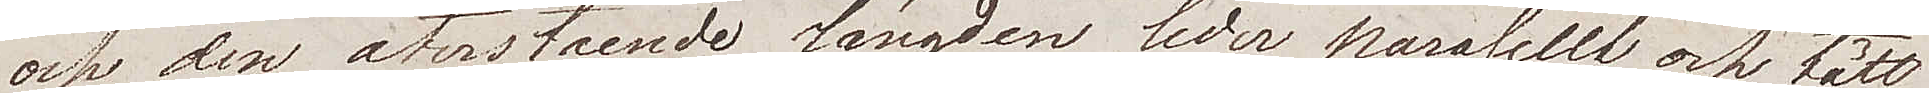och den återstående längden leder paralellt och tätt  
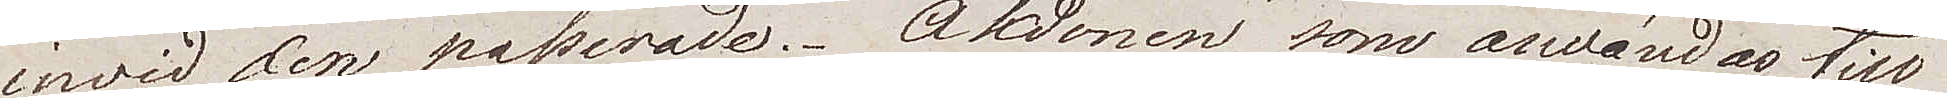invid den passerade. Åkdonen som användas till 
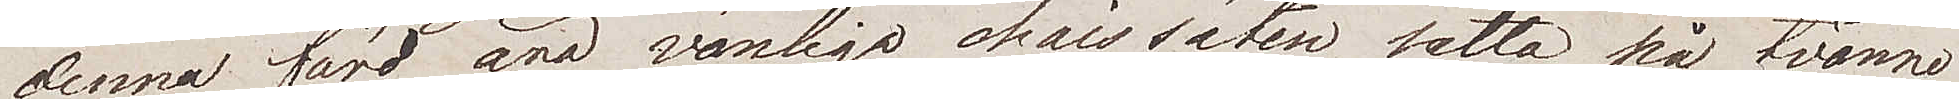denna färd äro vanliga chaissäten satta på tvänne 
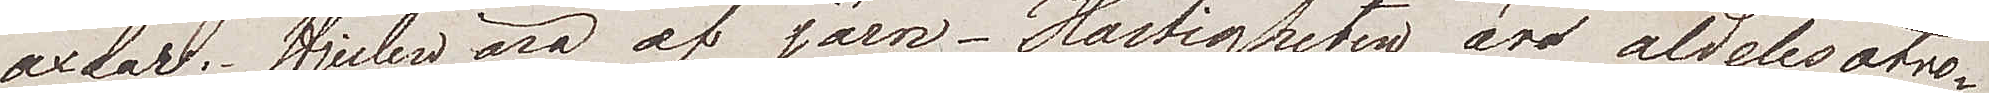axlar. Hjulen äro af järn. Hastigheten är aldeles otro¬ 
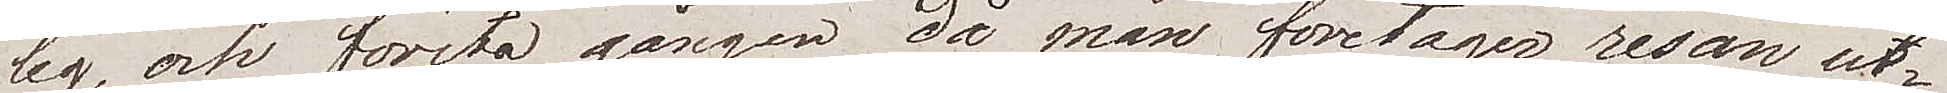lig, och första gången då man företager resan ut¬
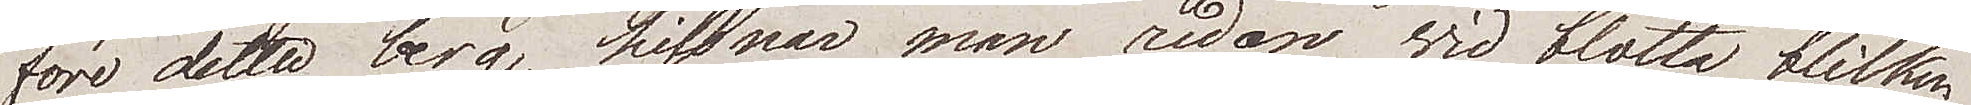före detta berg, hissnar man redan vid blotta blicken 
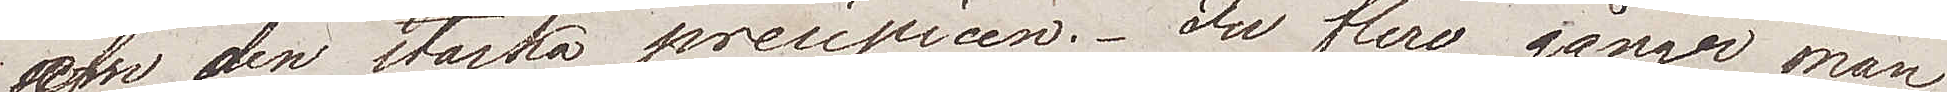af den starka precipicen. Ju flera gånger man
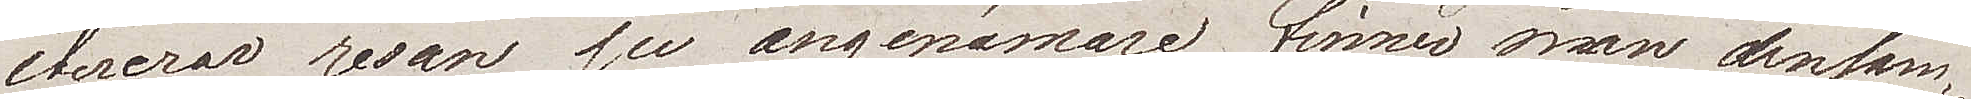itererar resan ju angenämare finner man densam¬
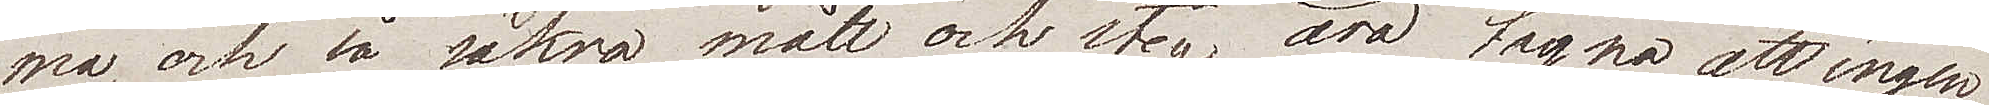ma, och så säkra mått och steg äro tagna att ingen 
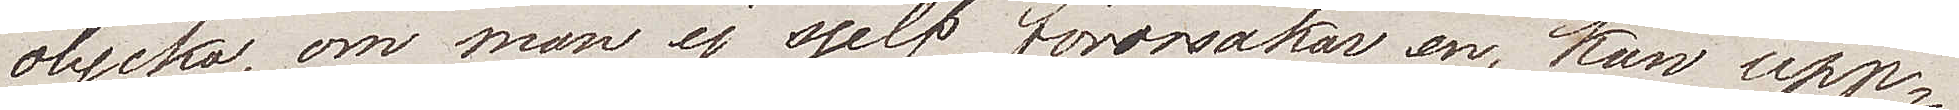olycka, om man ej sjelf förorsakar en, kan upp¬
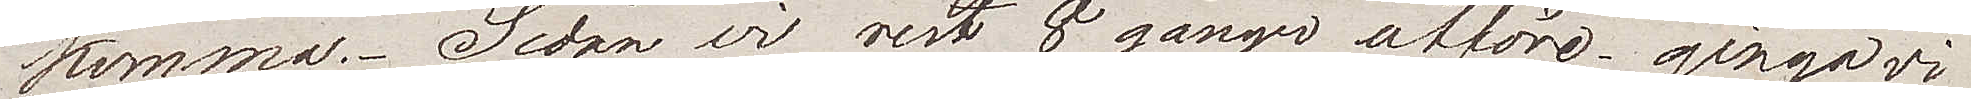komma. Sedan vi rest 8 gånger utföre gingo vi
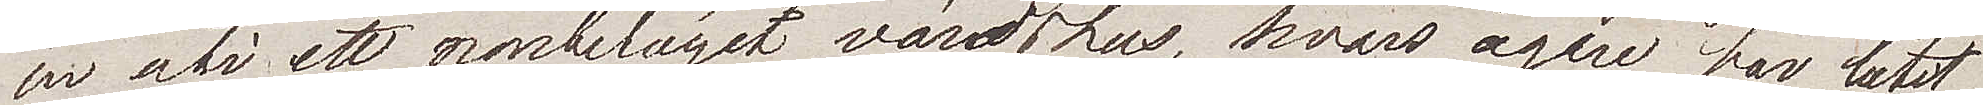in uti ett närbeläget värdshus, hvars ägare har låtit
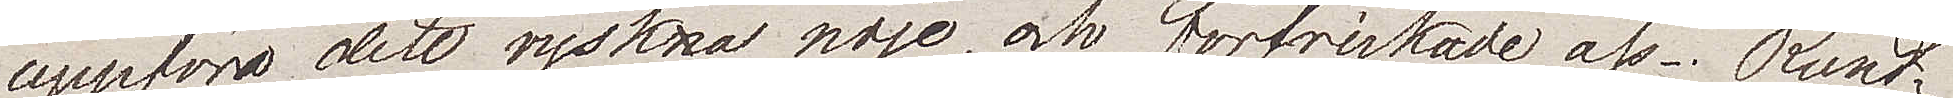uppföra  detta ryska nöje, och förfriskade oss. Rundt¬
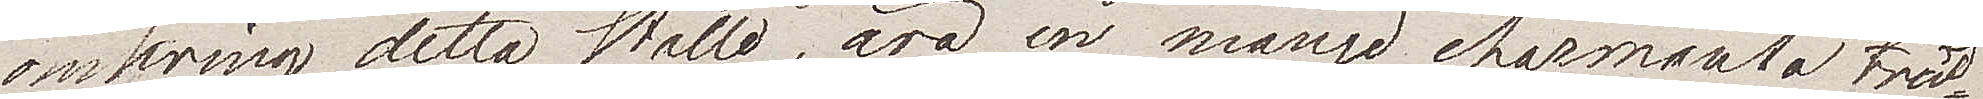omkring detta ställe, äro en mängd charmanta träd¬
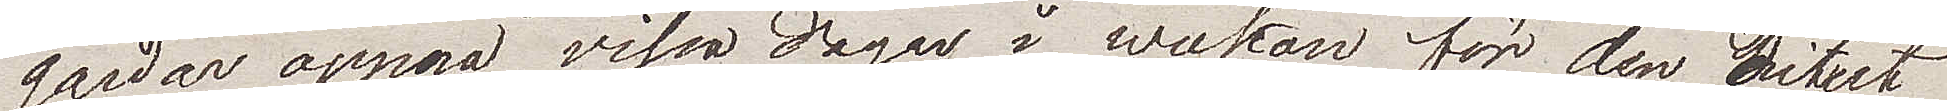gårdar öppna vissa dagar i weckan för den ditut
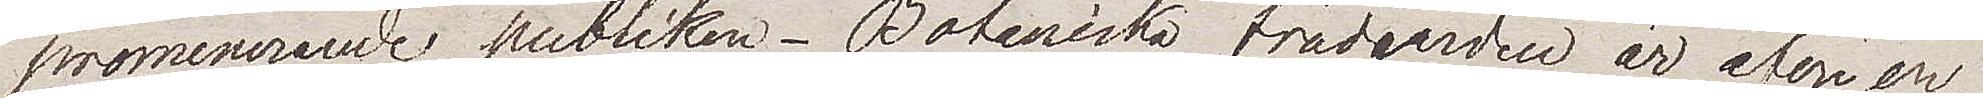promenerande publiken. Botaniska trädgården är äfven
